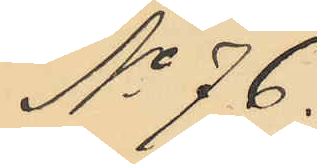No 76.
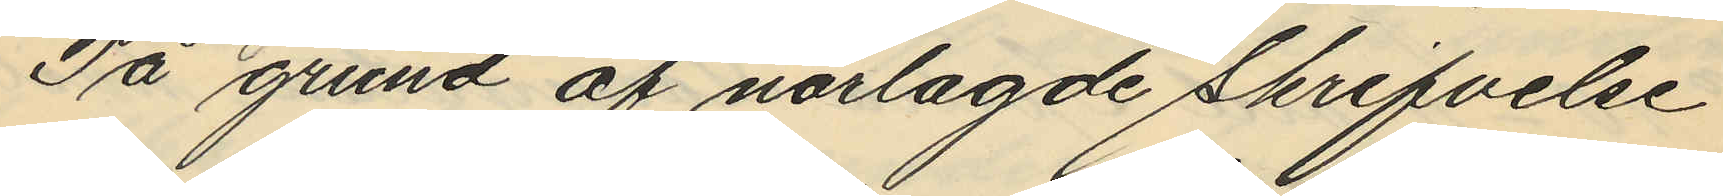På grund af närlagde skrifvelse
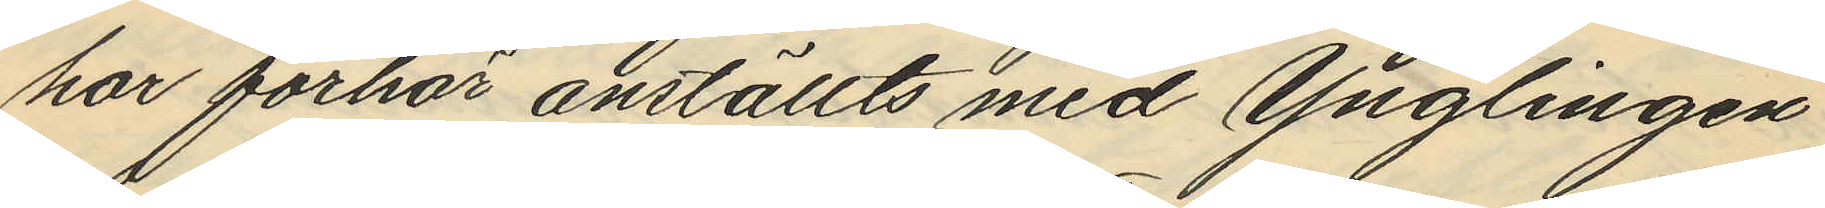har förhör anställts med Ynglingen
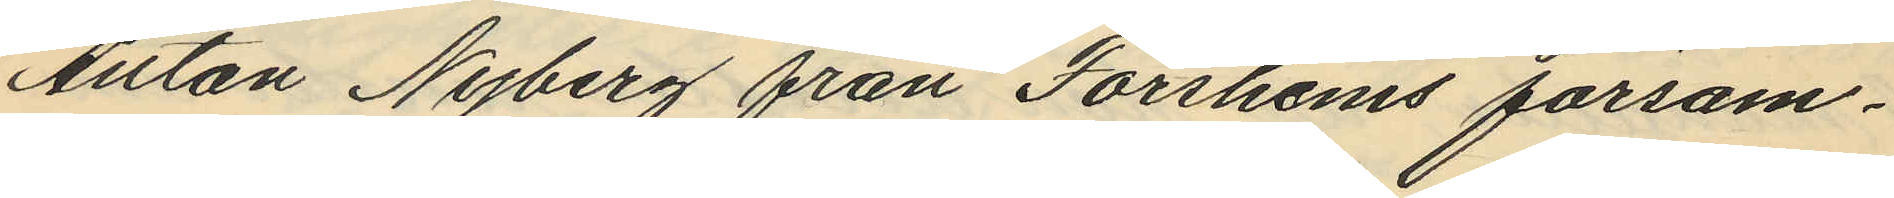Anton Nyberg från Forshems försam¬
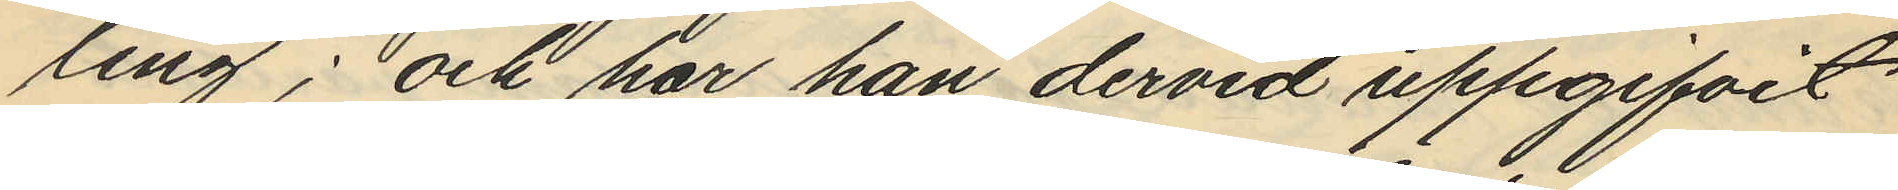ling; och har han dervid uppgifvit
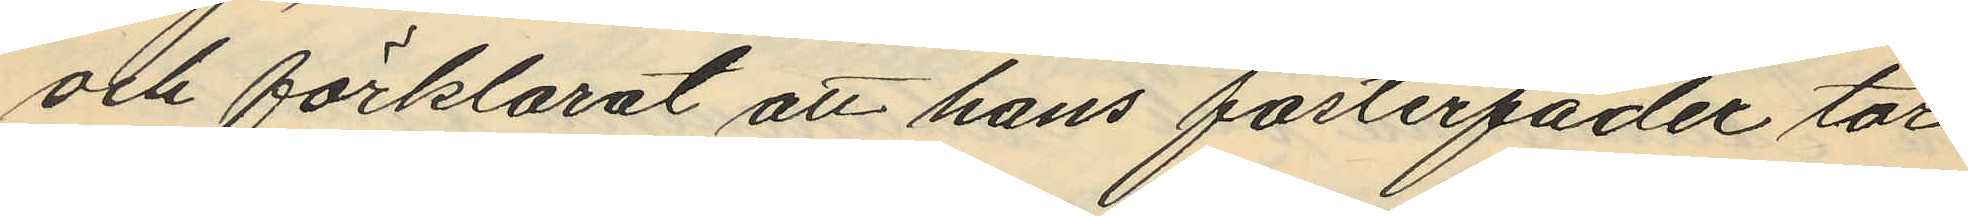och förklarat att hans fosterfader tor¬
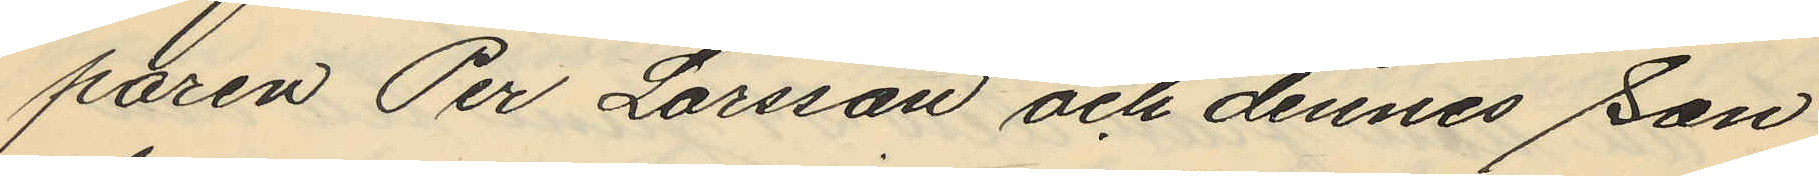paren Per Larsson och dennes son
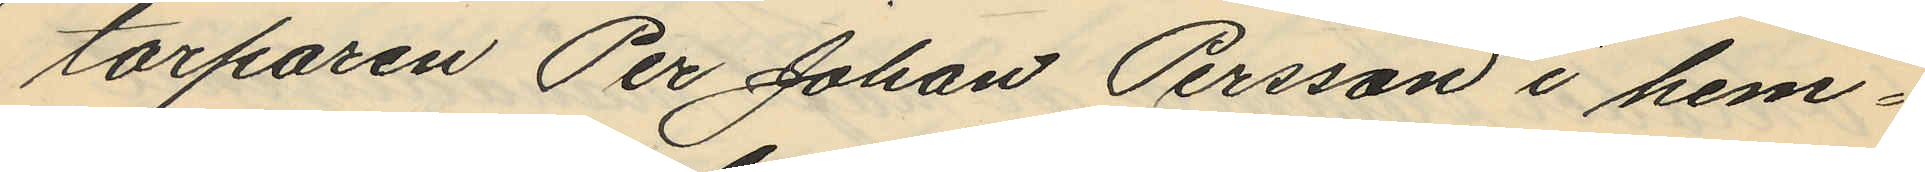torparen Per Johan Persson i hem¬
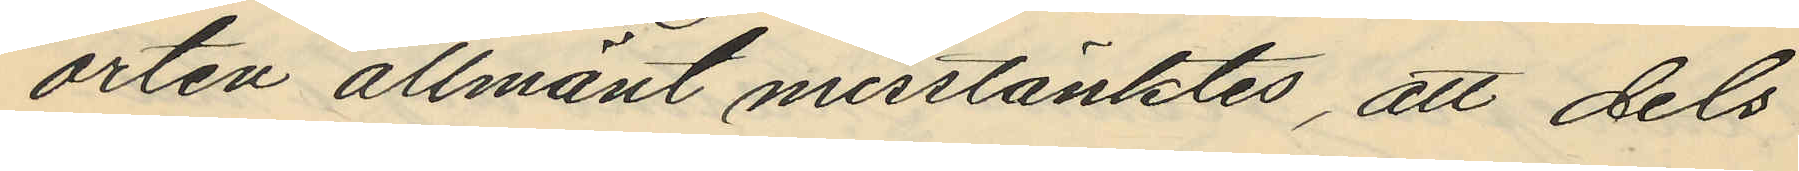orten allmänt misstänktes, att dels
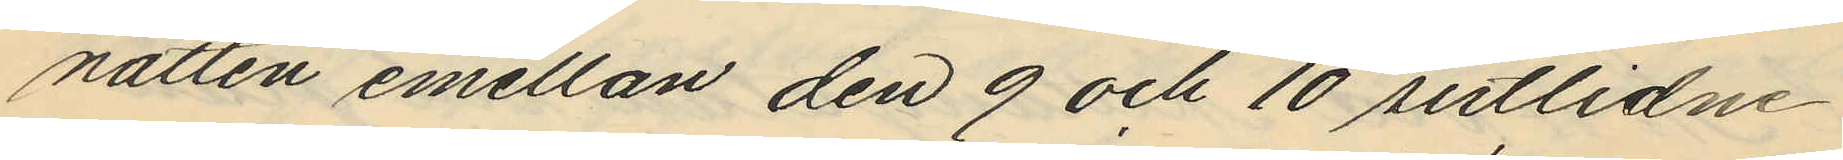natten emellan den 9 och 10 sistlidne
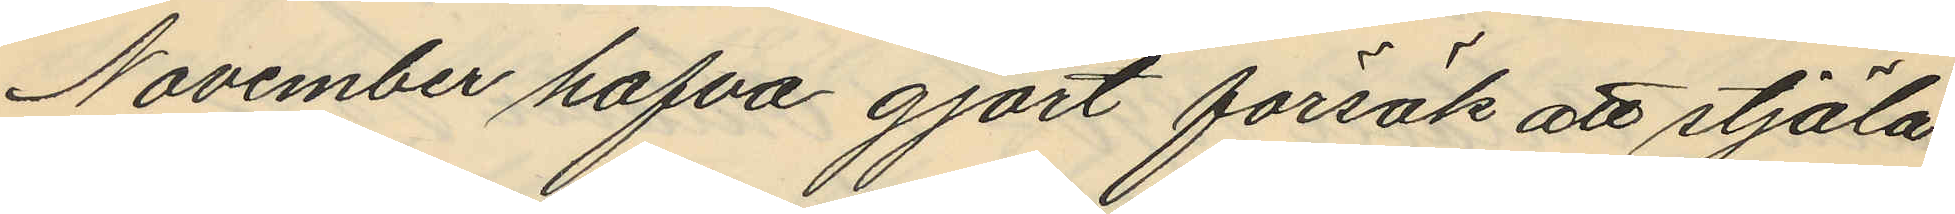November hafva gjort försök att stjäla
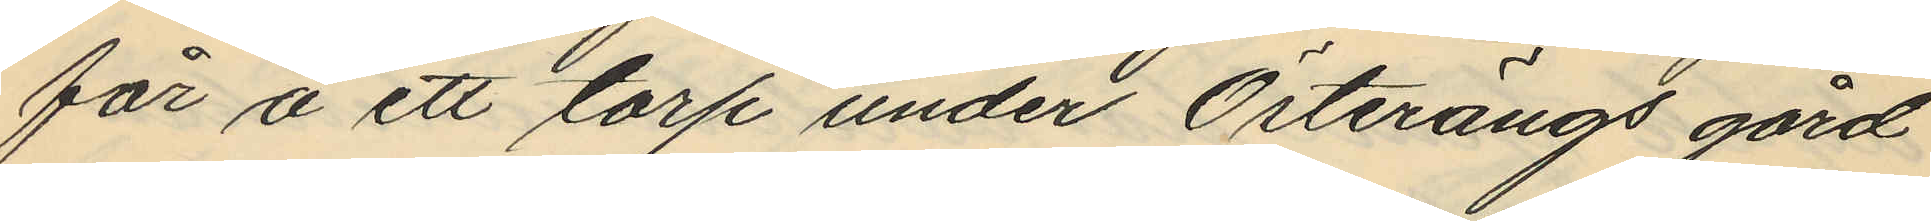får å ett torp under Österängs gård
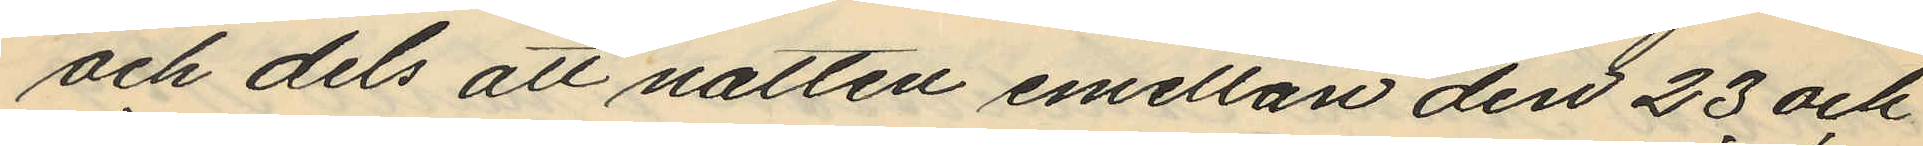och dels att natten emellan den 23 och
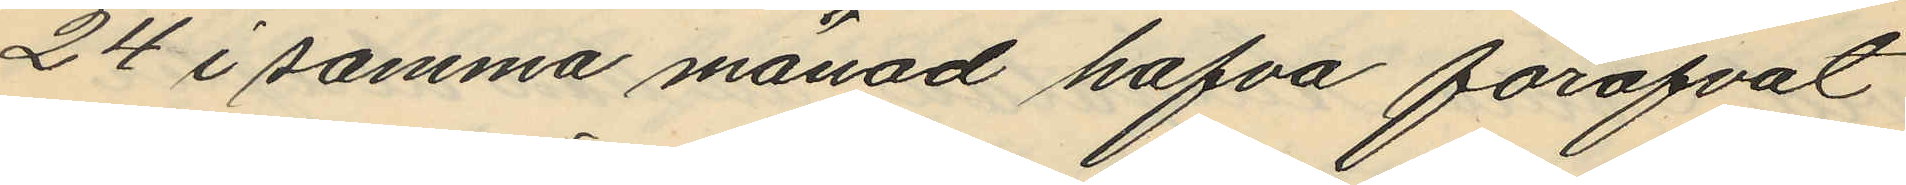24 i samma månad hafva föröfvat
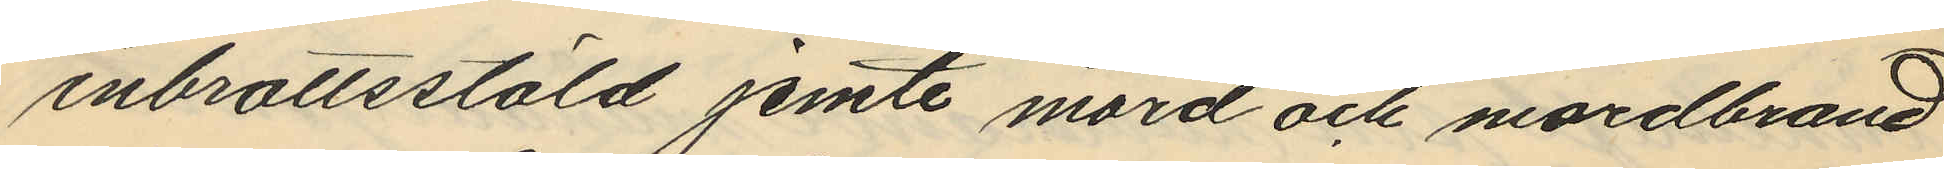inbrottsstöld jemte mord och mordbrand
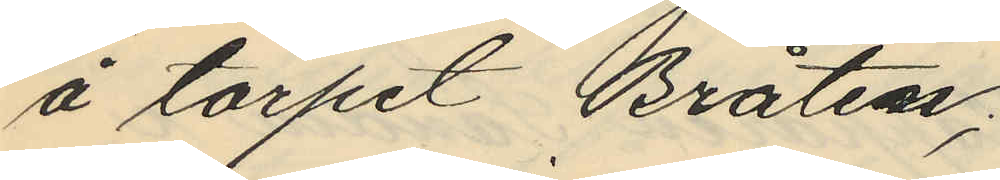å torpet Bråten;
